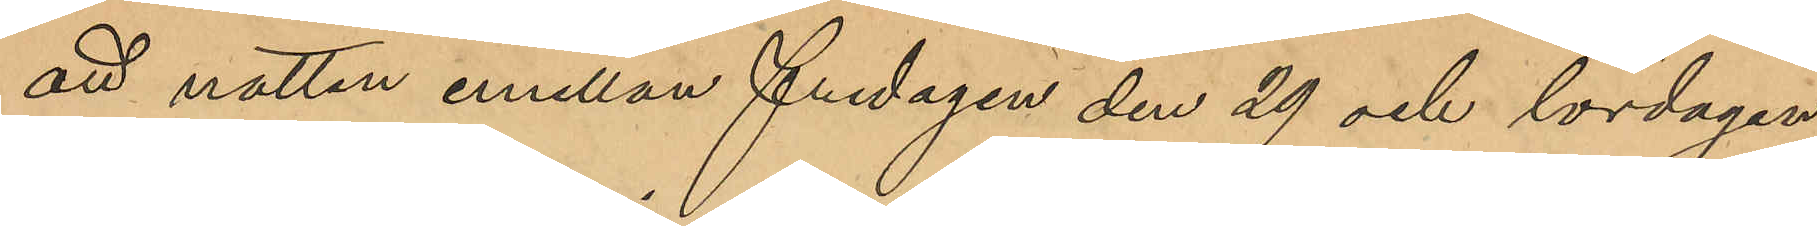att natten emellan fredagen den 29 och lördagen
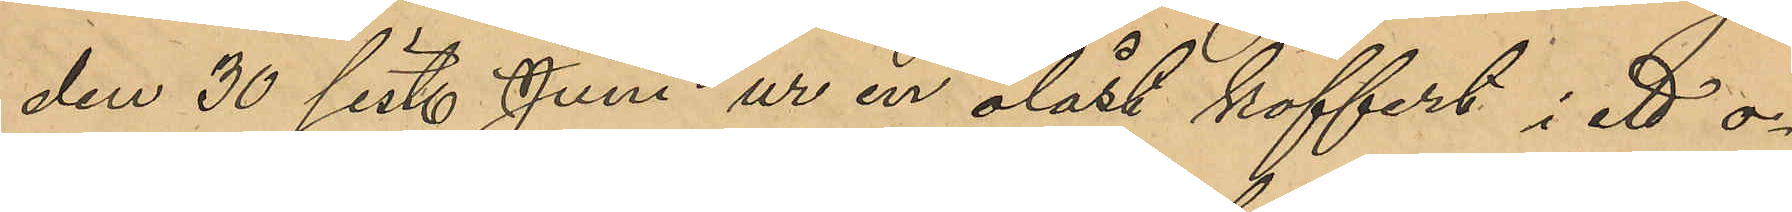den 30 sist. Juni ur en olåst koffert i ett o¬
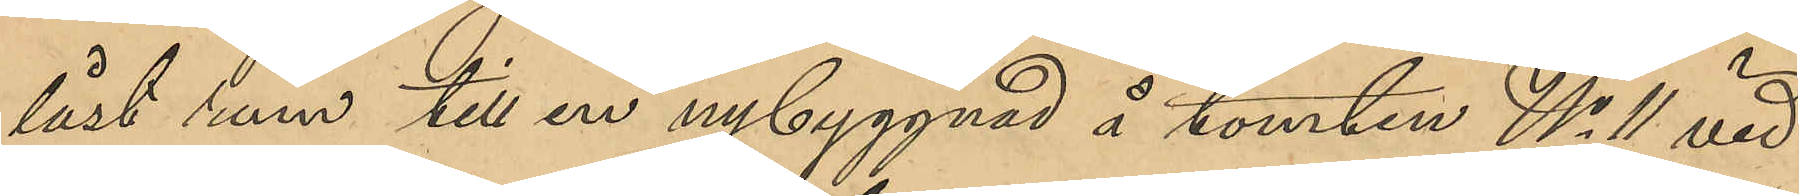låst rum till en nybyggnad å tomten No 11 vid
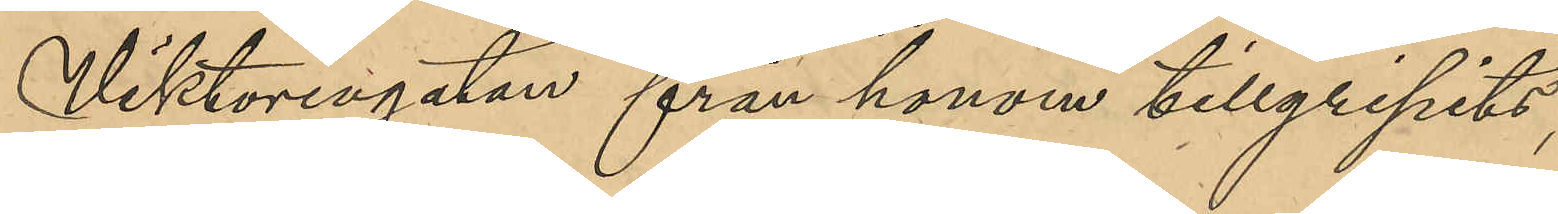Viktoriagatan från honom tillgipits,
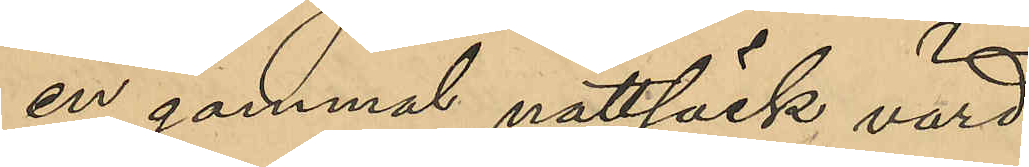en gammal nattsäck värd
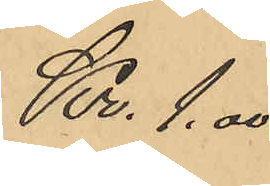Kr. 1.00
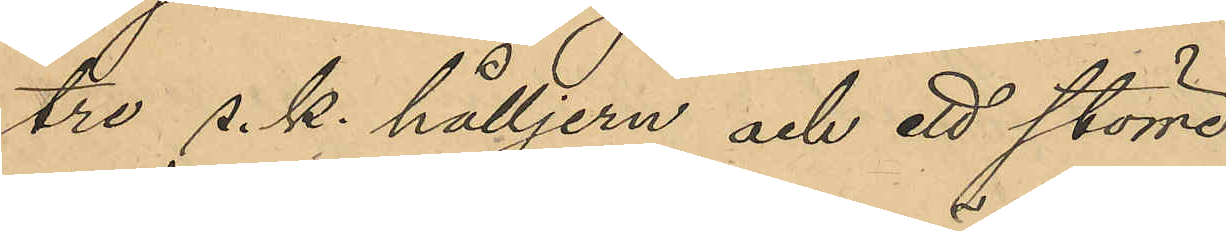tre s. k. hålljern och ett större
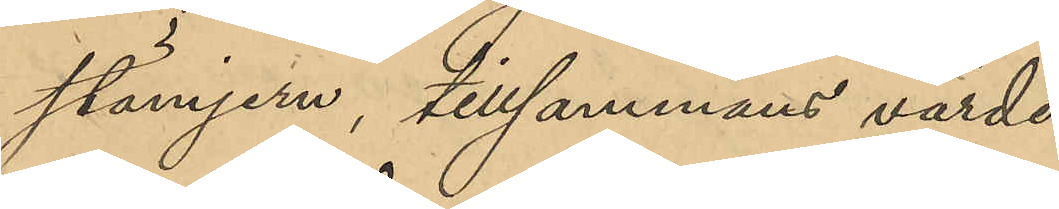stämjern, tillsammans värde
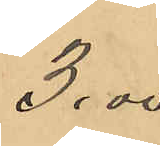3.00
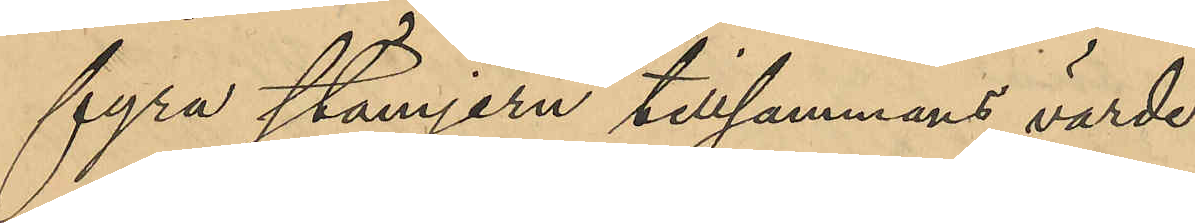fyra stämjern tillsammans värde
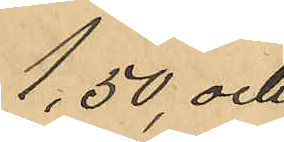1,50, och
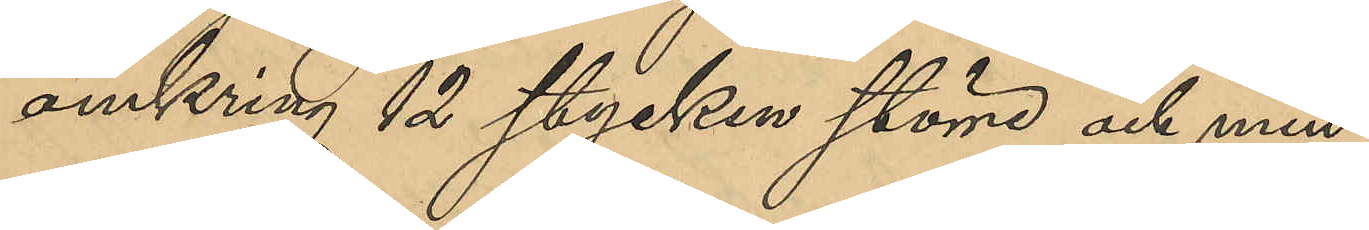omkring 12 stycken större och min¬
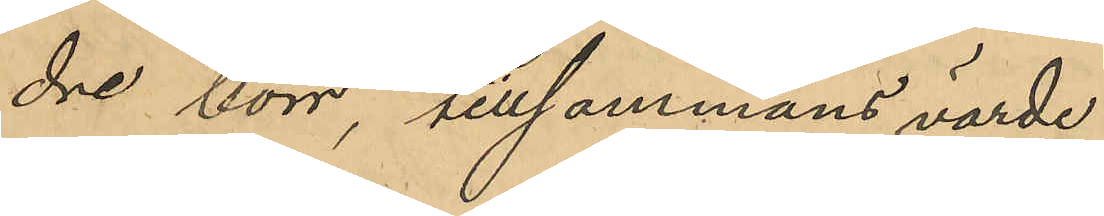dre borr, tillsammans värde
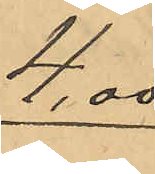4.00
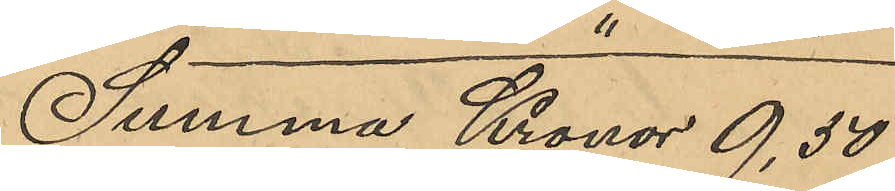Summa Kronor 9,50
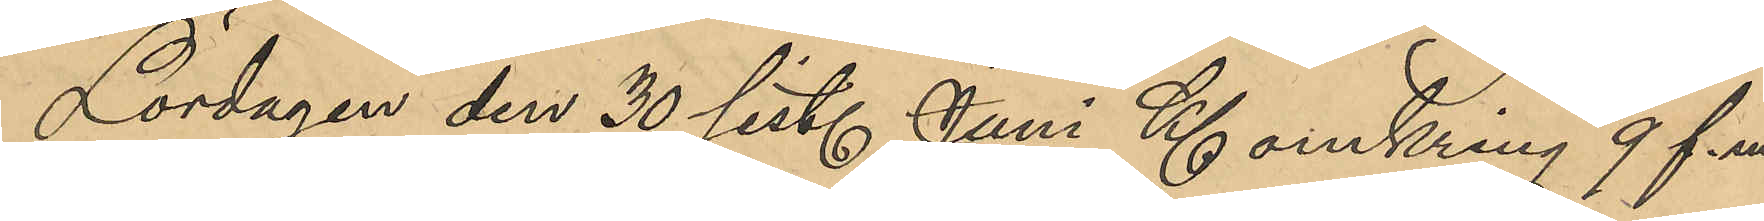Lördagen den 30 sist. Juni Kl omkring 9 f. m
